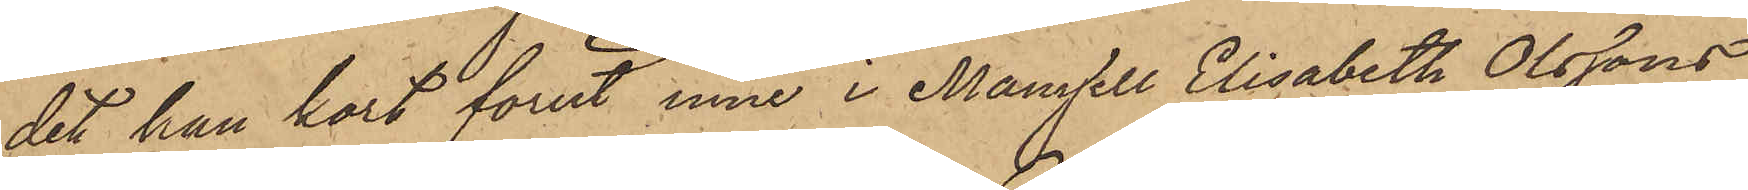det han kort förut inne i Mamsell Elisabeth Olssons
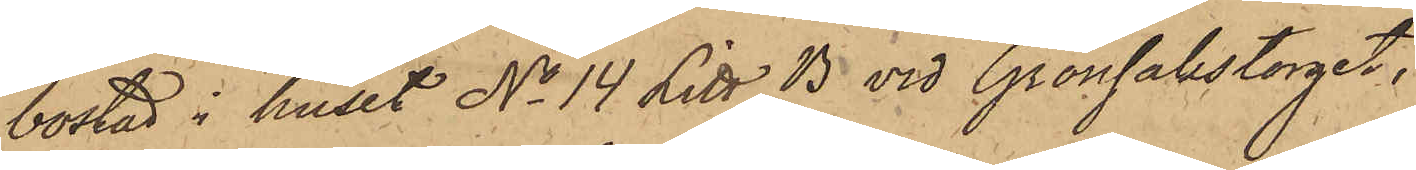bostad i huset No 14 Litt. B vid Grönsakstorget,
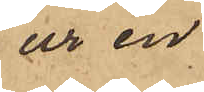ur en
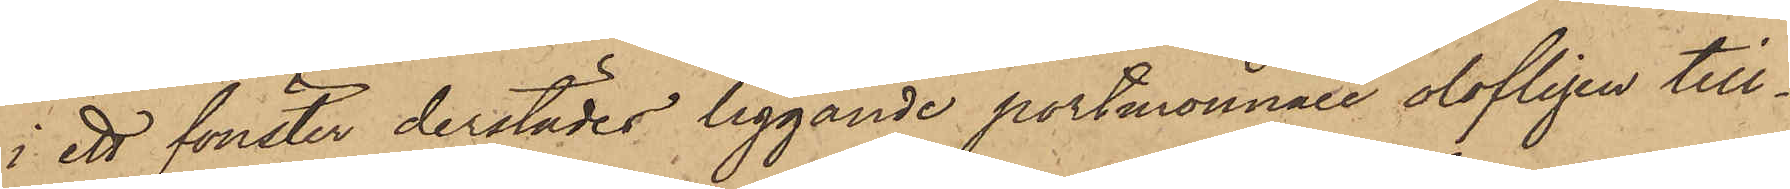i ett fönster derstädes liggande portmonnaie olofligen till¬
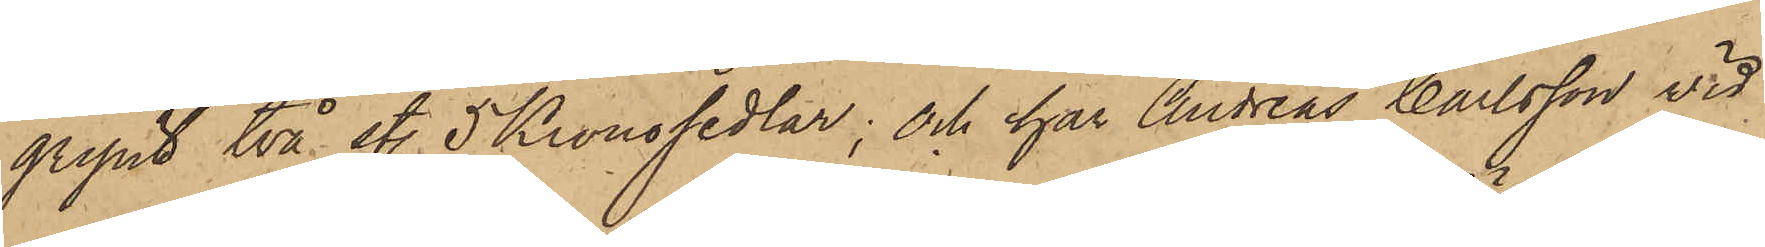gripit två st. 5 Kronosedlar; och har Andreas Carlsson vid
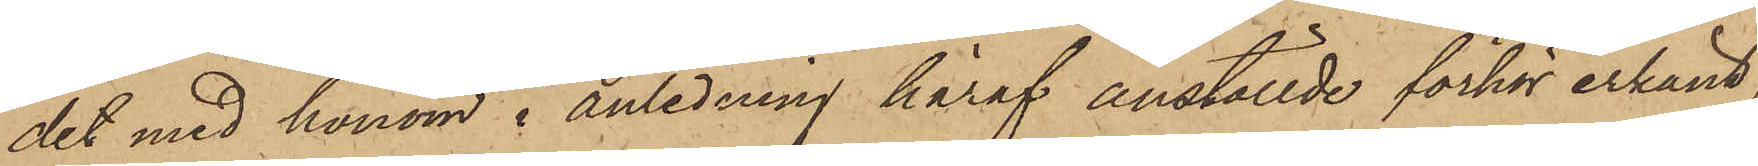det med honom i anledning häraf anställde förhör erkänt,
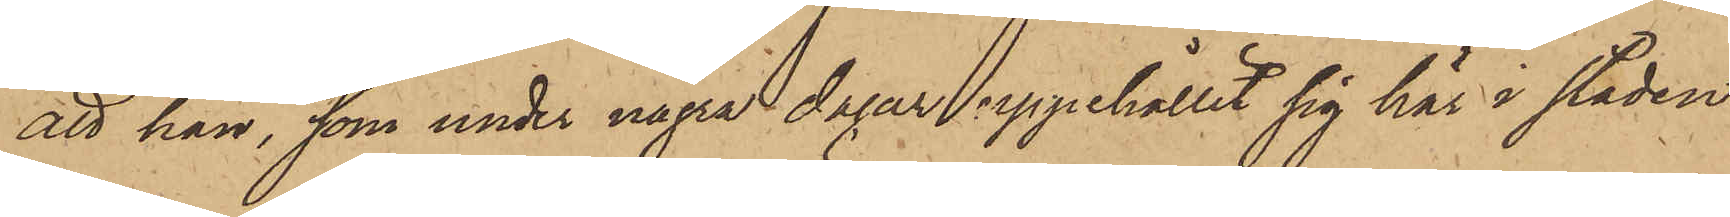att han, som under några dagar uppehållit sig här i staden
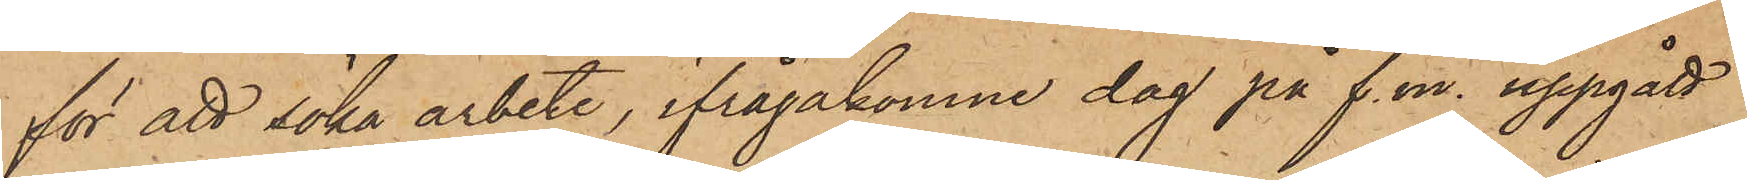för att söka arbete, ifrågakomne dag på f. m. uppgått
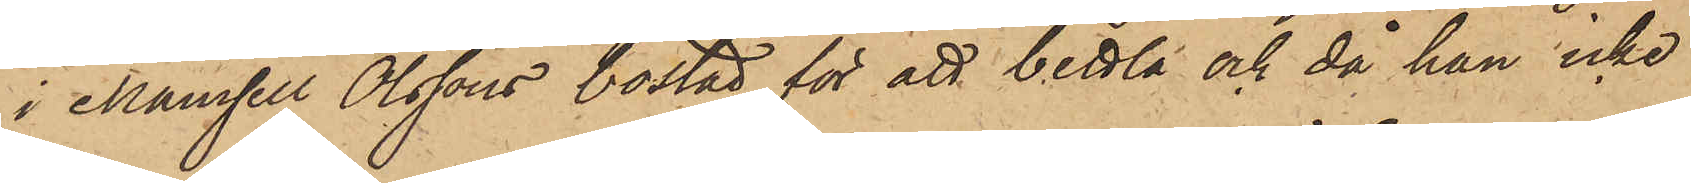i Mamsell Olssons bostad för att bettla och då han icke
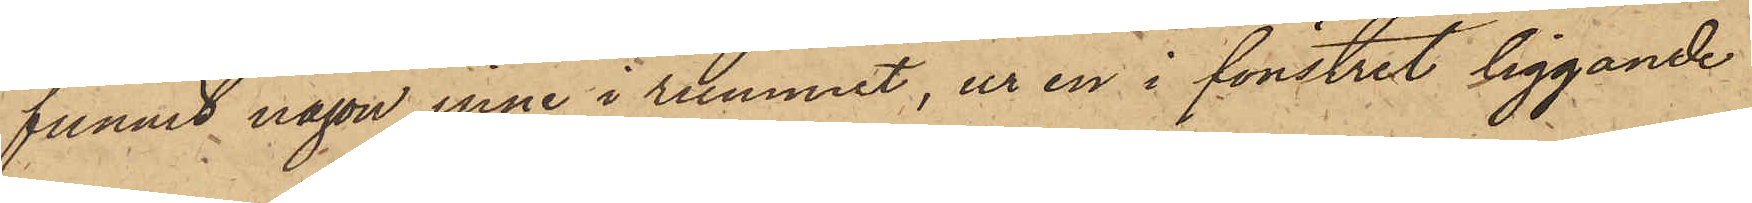funnit någon inne i rummet, ur en i fönstret liggande
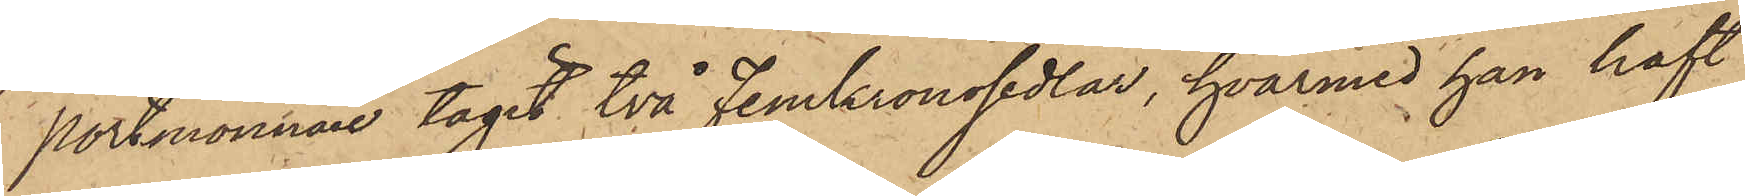portmonnaie tagit två Femkronosedlar, hvarmed han haft
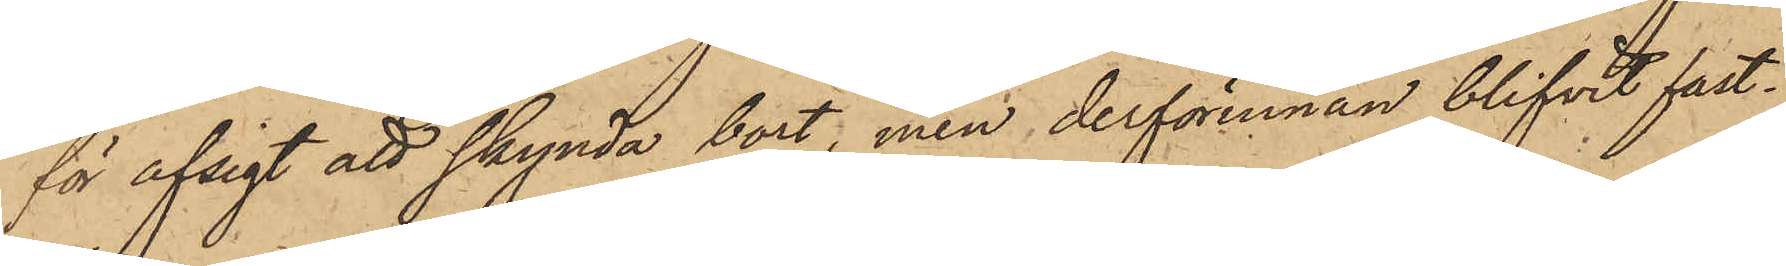för afsigt att skynda bort, men derförinnan blifvit fast¬
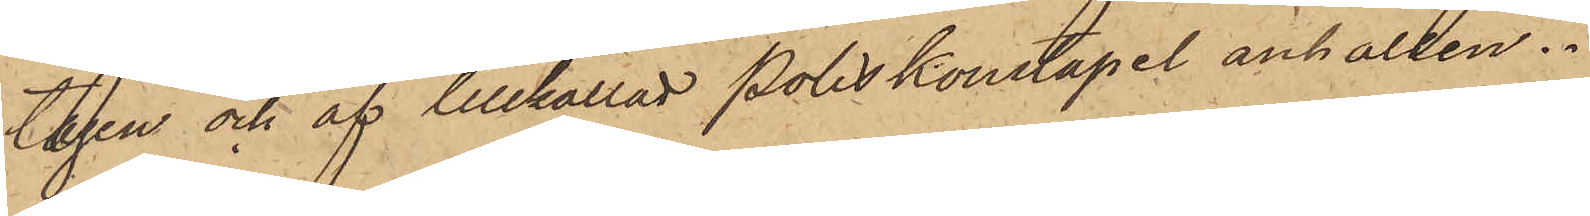tagen och af tillkallad Poliskonstapel anhållen.
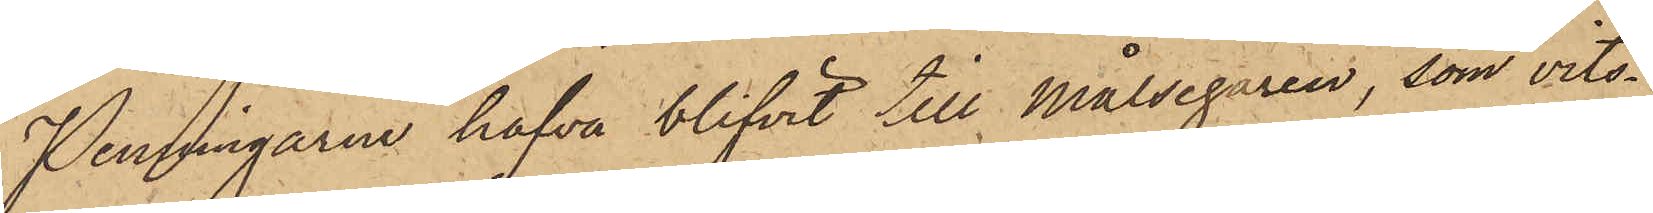Penningarne hafva blifvit till Målsegaren, som vits¬
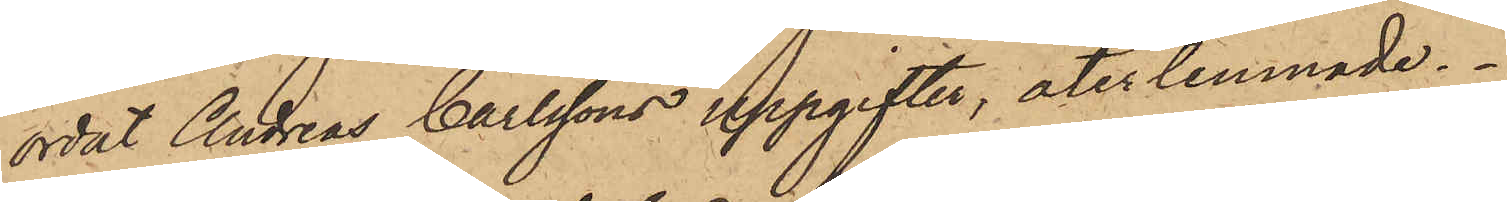ordat Andreas Carlssons uppgifter, återlemnade.
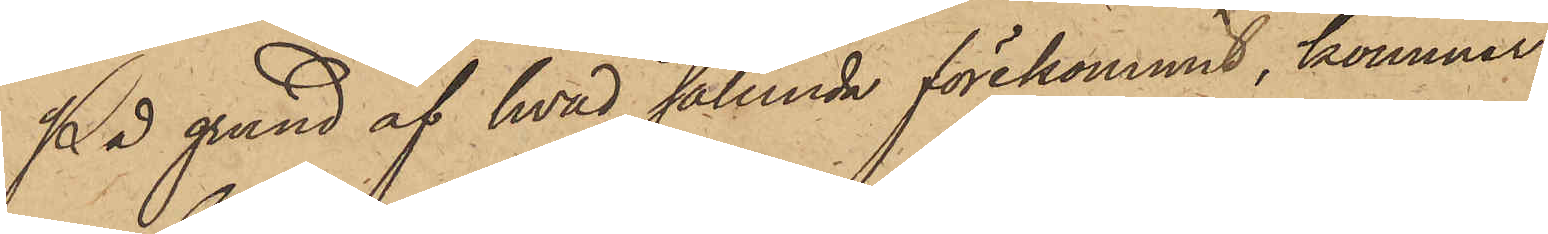På grund af hvad sålunda förekommit, kommer
